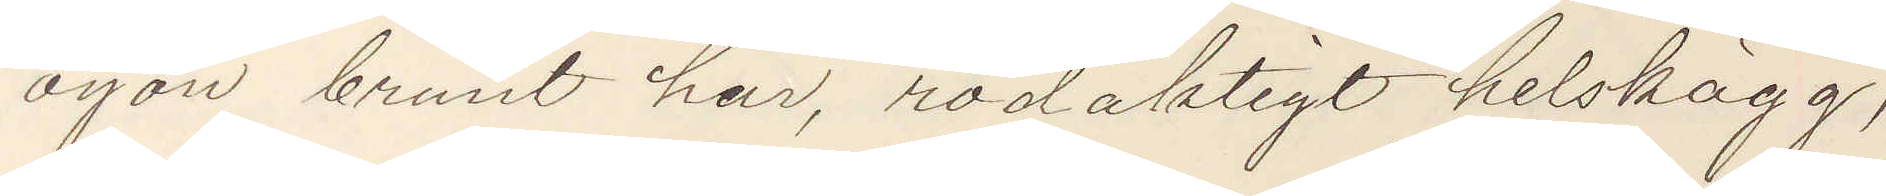ögon brunt hår, rödaktigt helskägg,
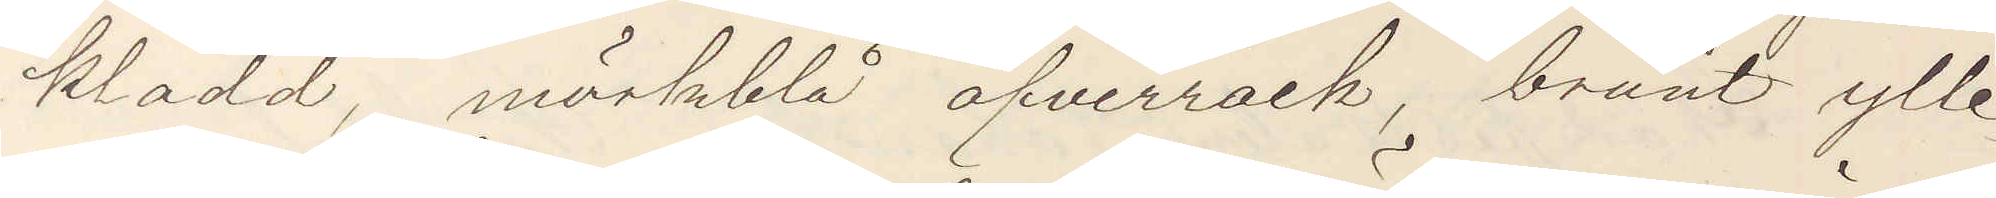klädd, mörkblå öfverrock, brunt ylle¬
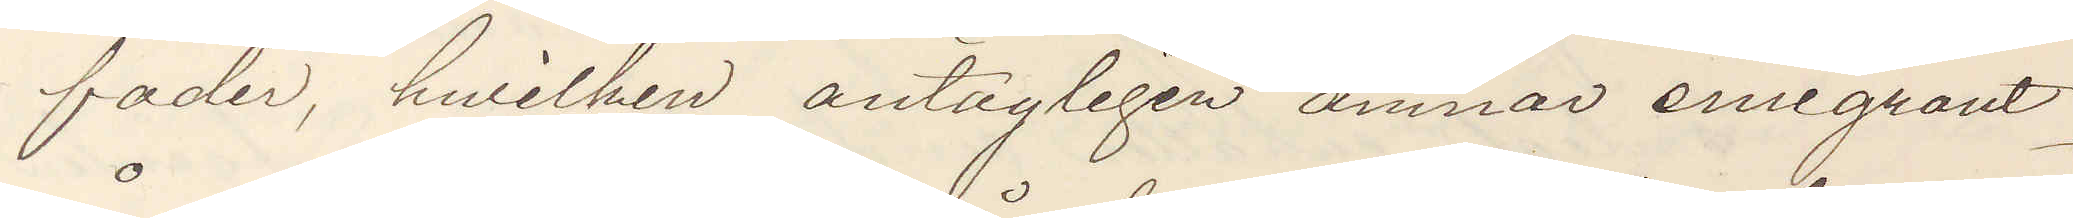foder, hvilken antagligen ämnar emigrant¬
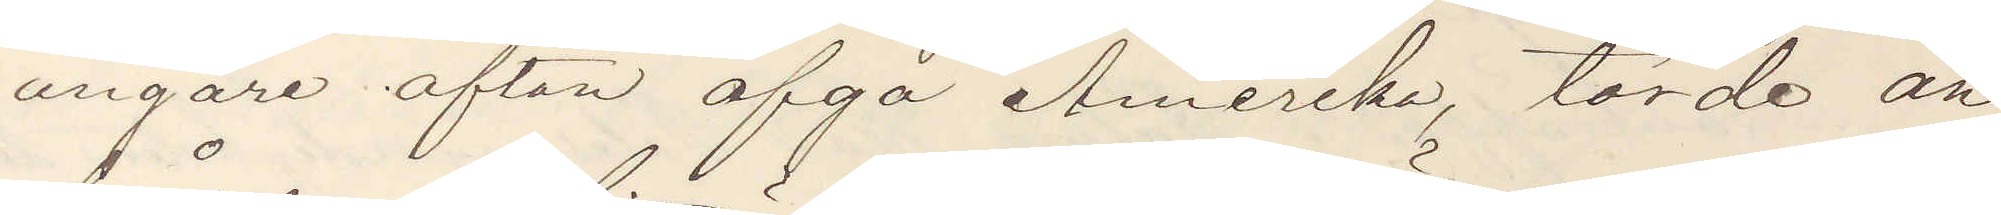ångare afton afgå Amerika, torde an¬
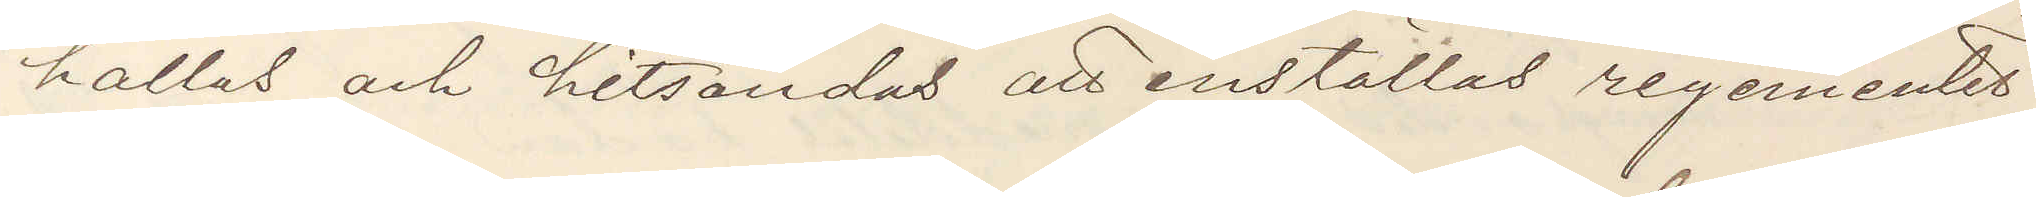hållas och hitsändas att inställas regementet
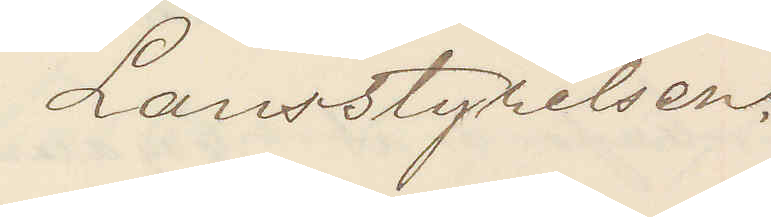Länsstyrelsen.
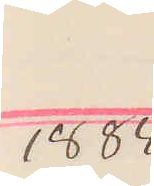1884
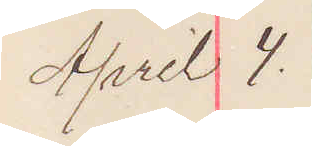April 4.
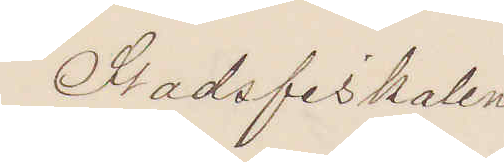Stadsfiskal 
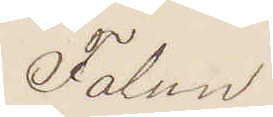Falun
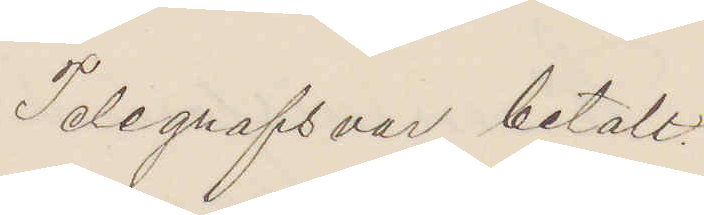Telegrafsvar betalt
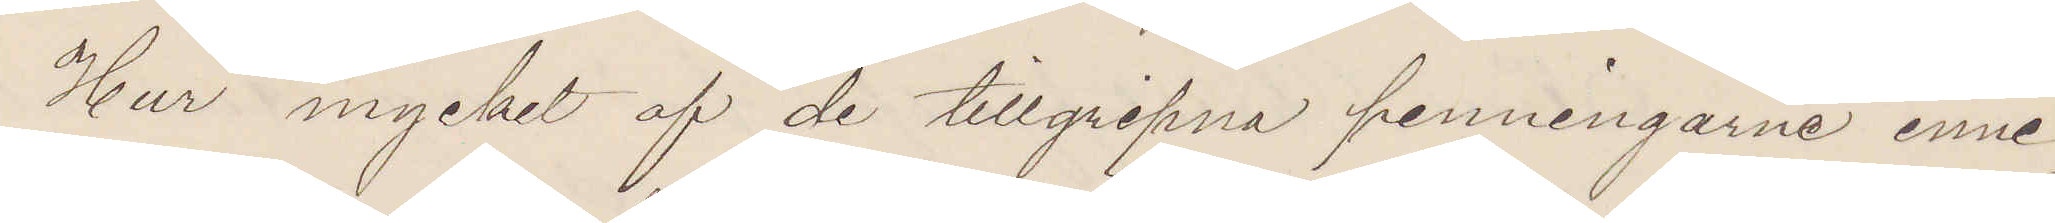Hur mycket af de tillgripne penningarne inne¬
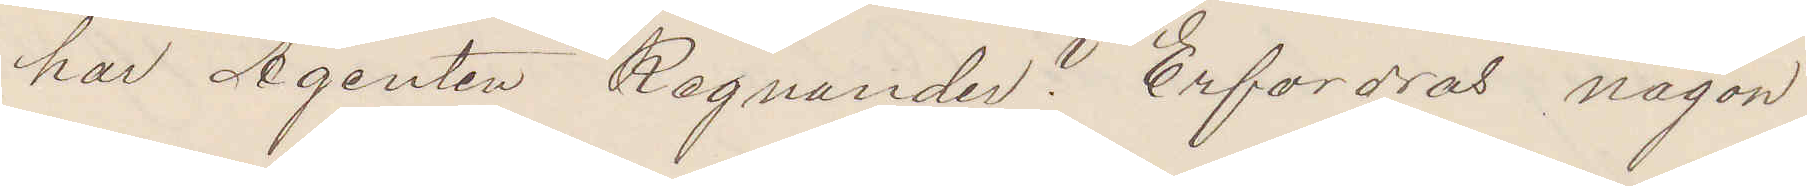har Agenten Regnander? Erfordras någon
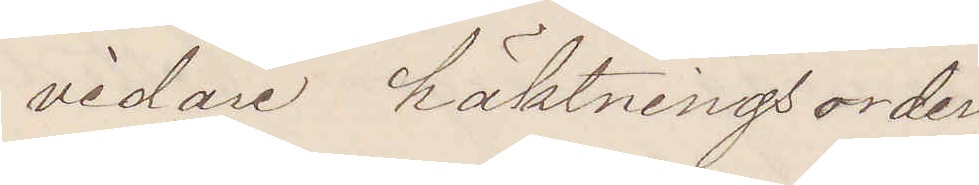vidare häktningsorder.
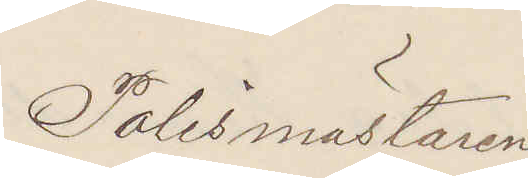Polismästaren.
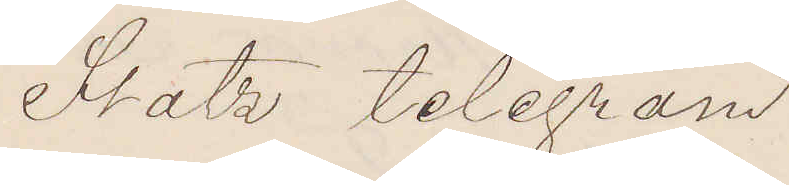Stats telegram
